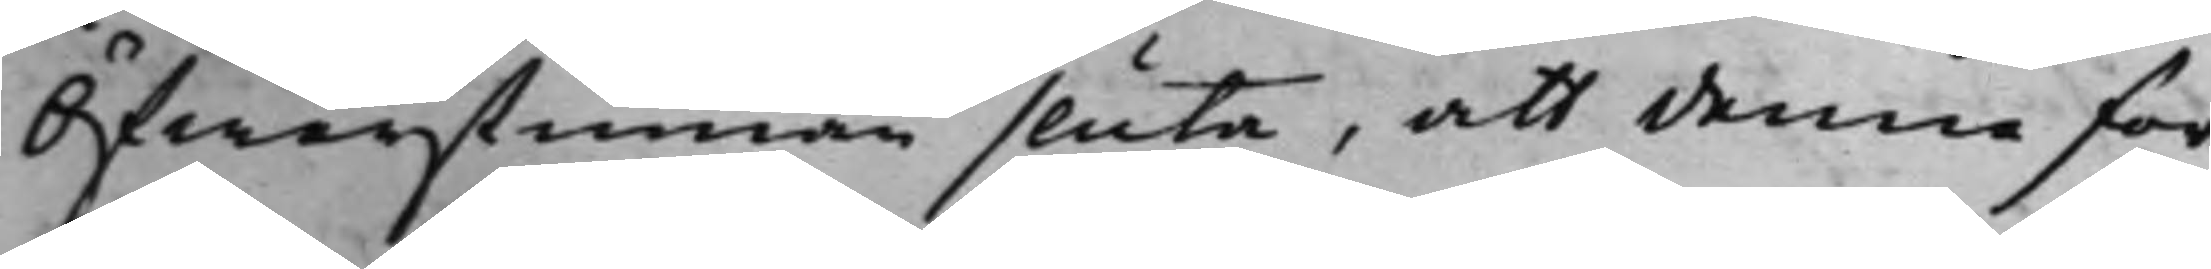Öfwerstinnan sluta, att denna for¬
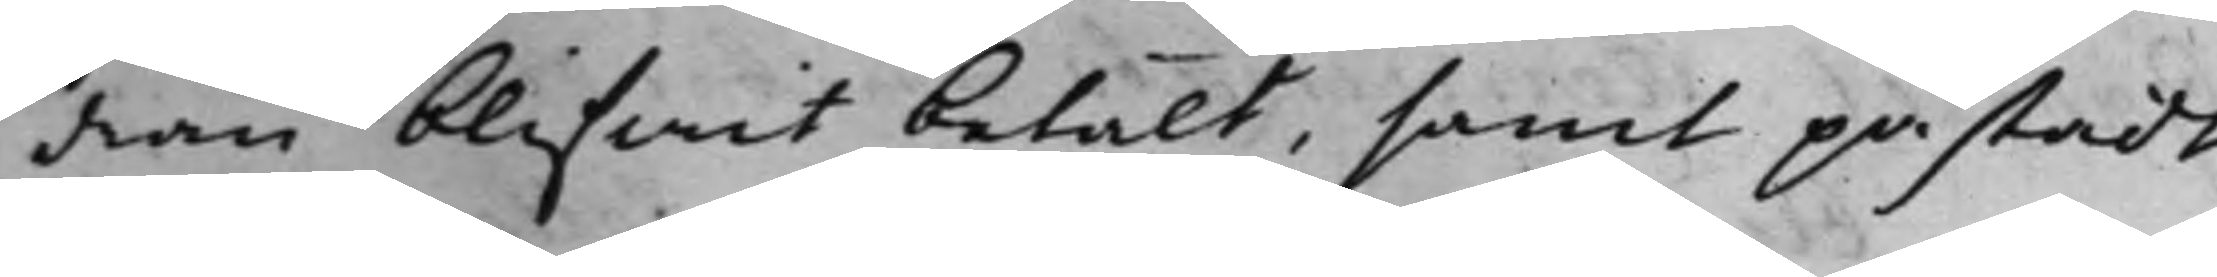dran blifwit betalt, samt påstadt.
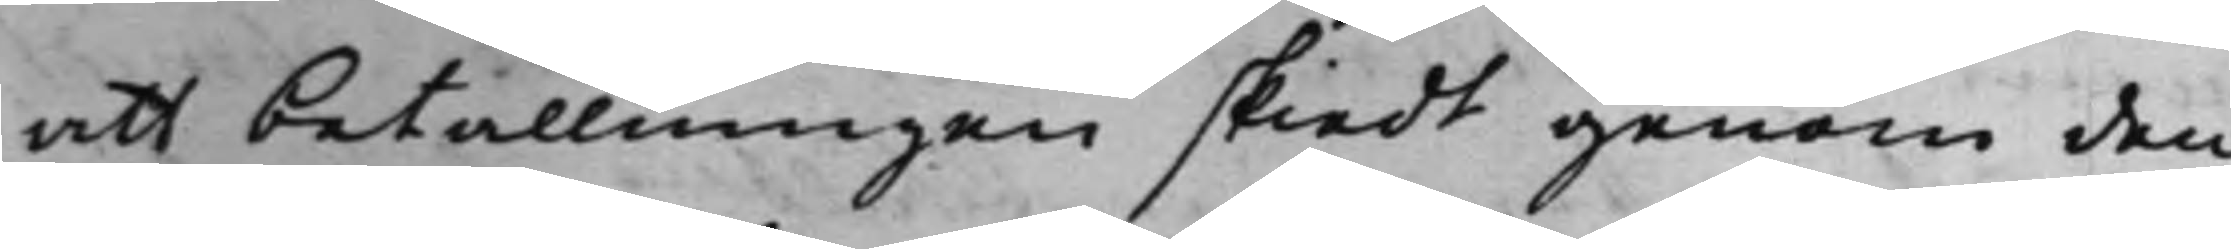att betallninngen skiedt genom den
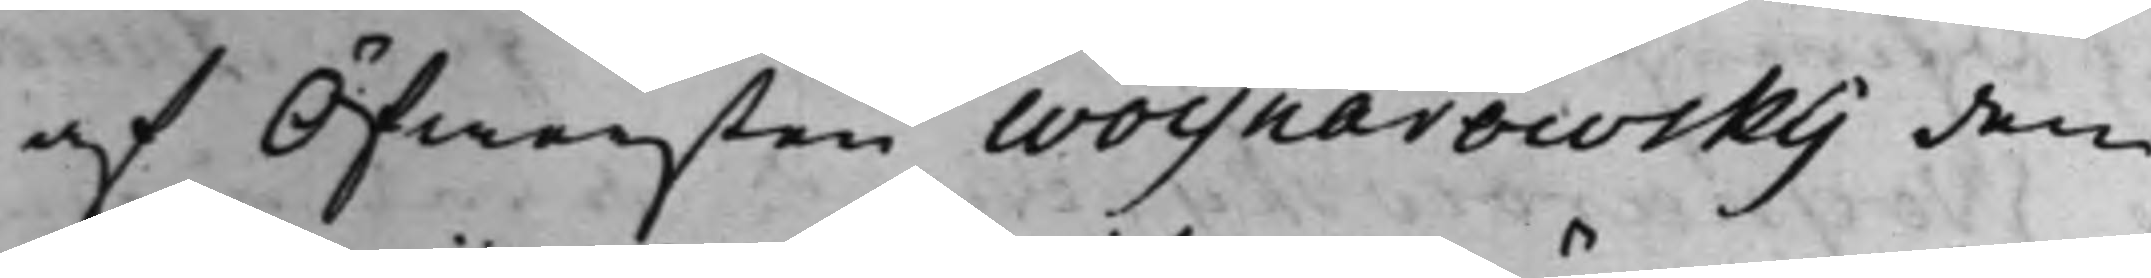af Öfwersten Woynarowsky den
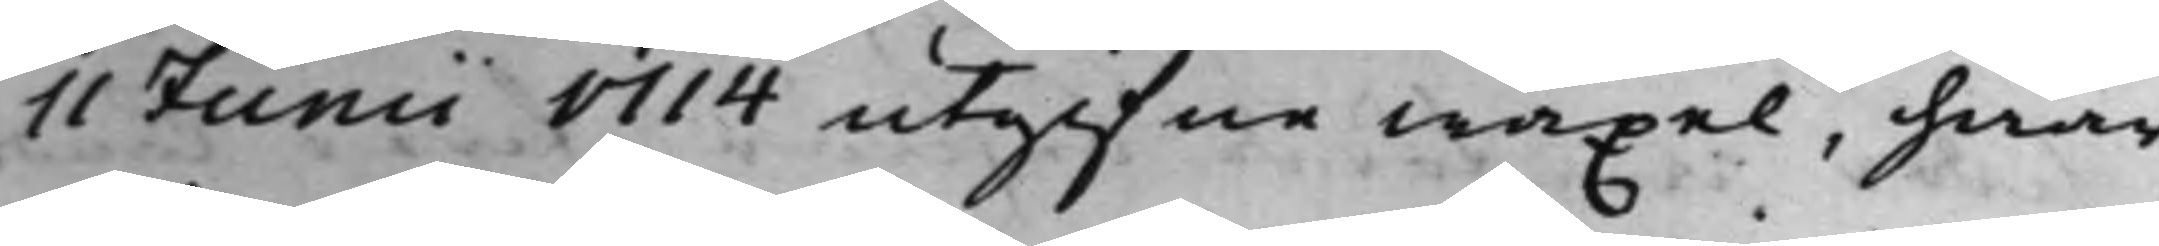11 Junii 1714 utgifne wäxel, hwar¬
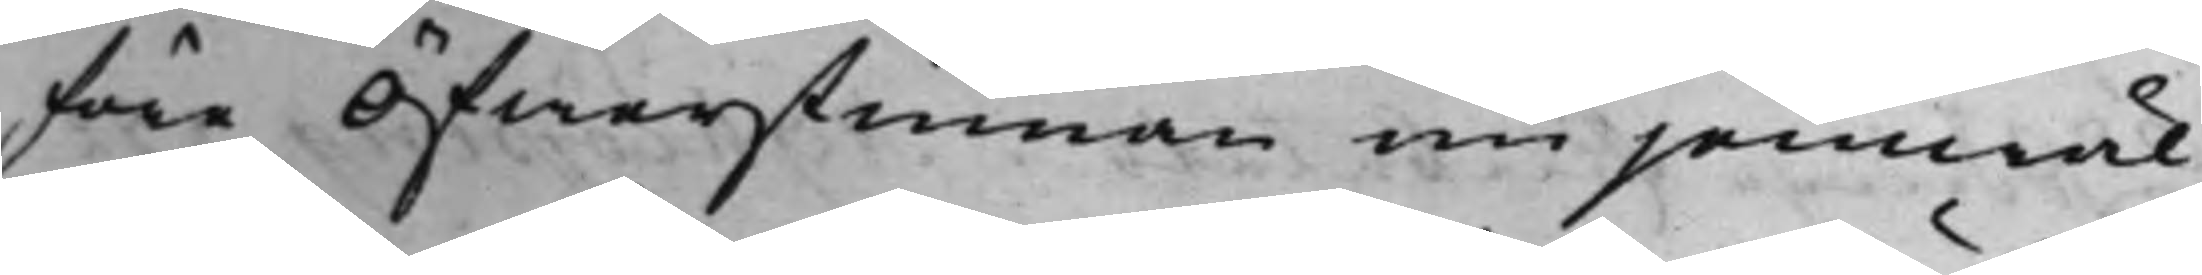före Öfwerstinnan nu jemwäl
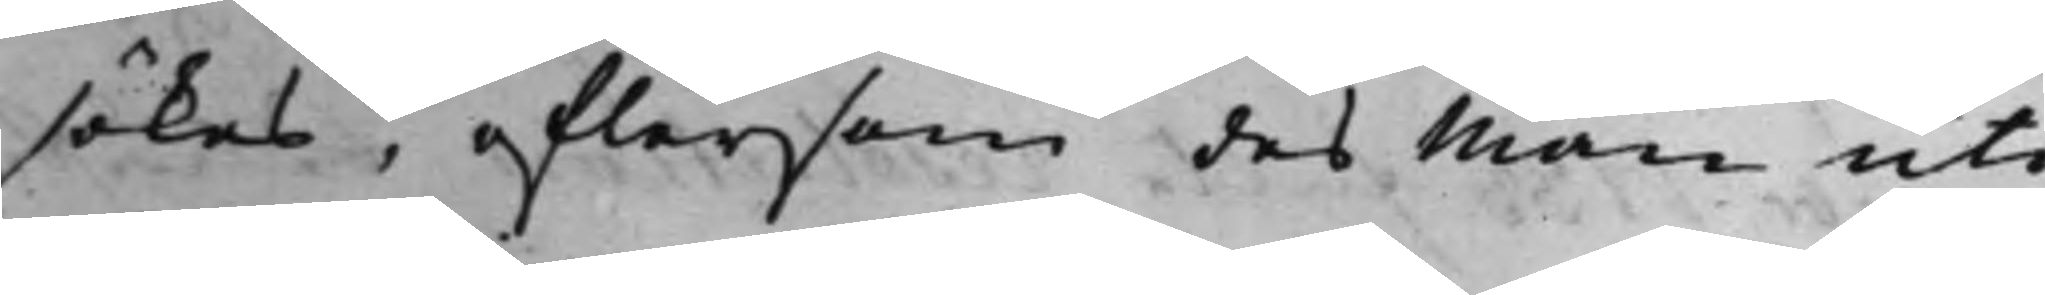sökes, eftersom des Man uti
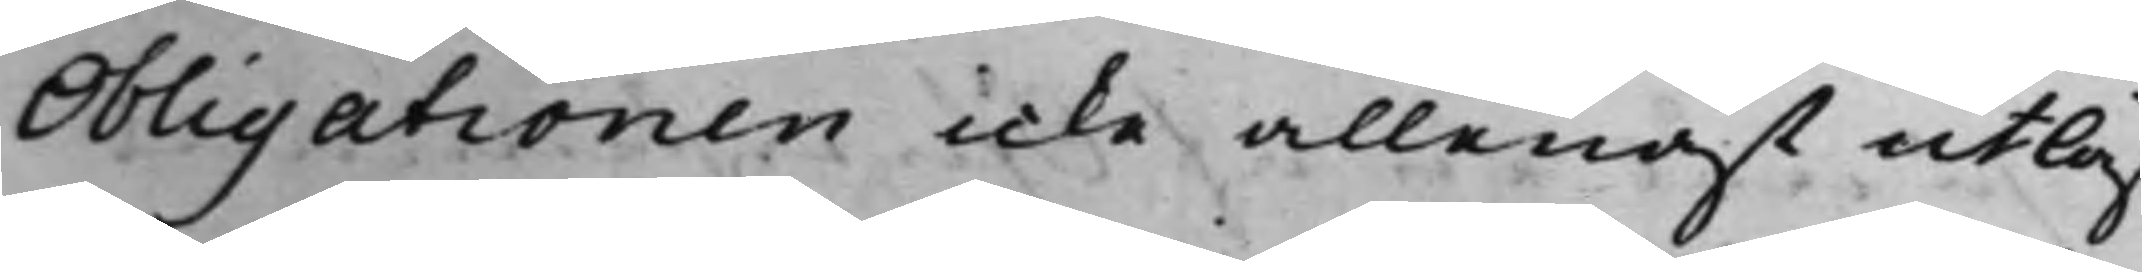Obligationen icke allenast utlåf¬
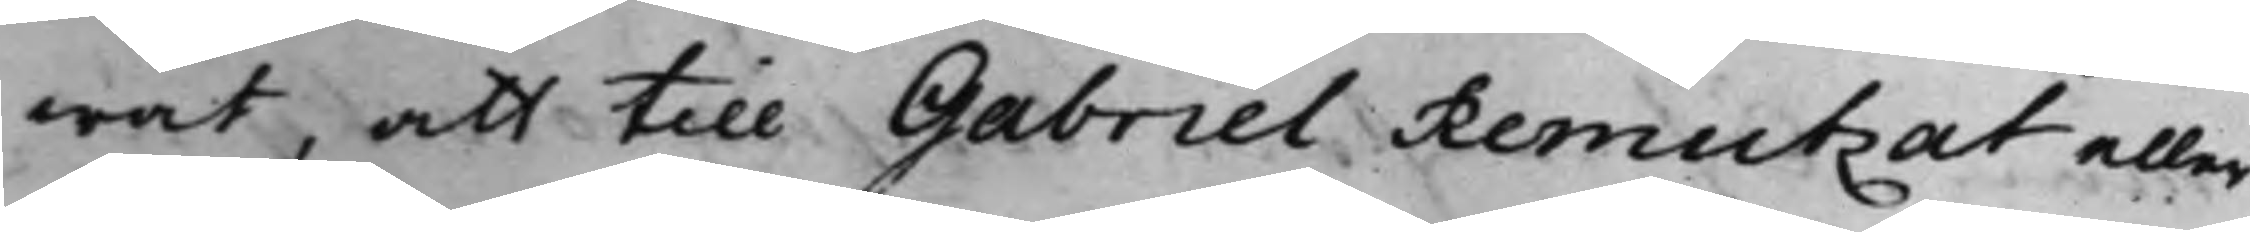wat, att till Gabriel Re,mutzat eller
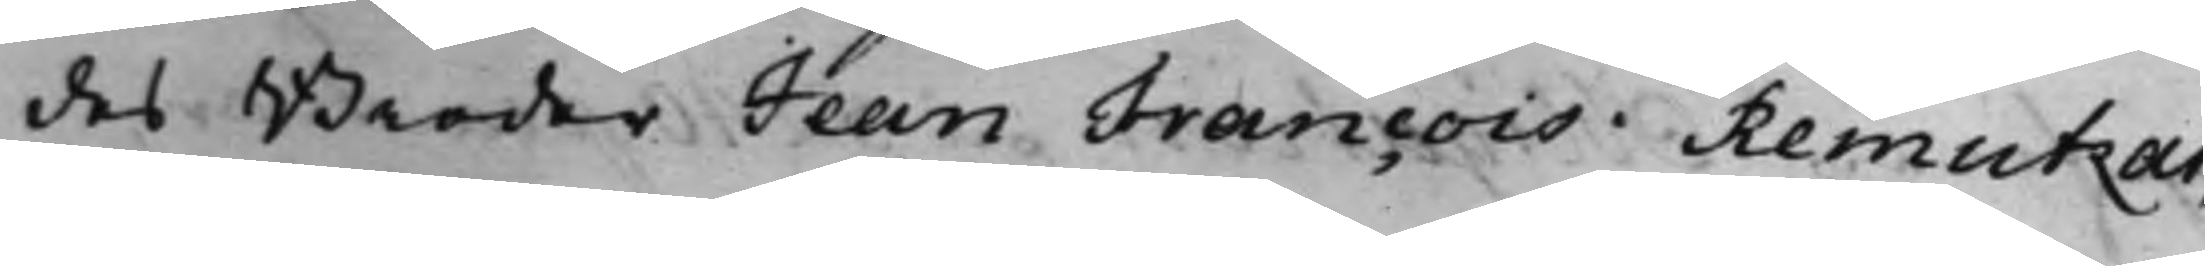des Broder Jean Francois Remutzat,
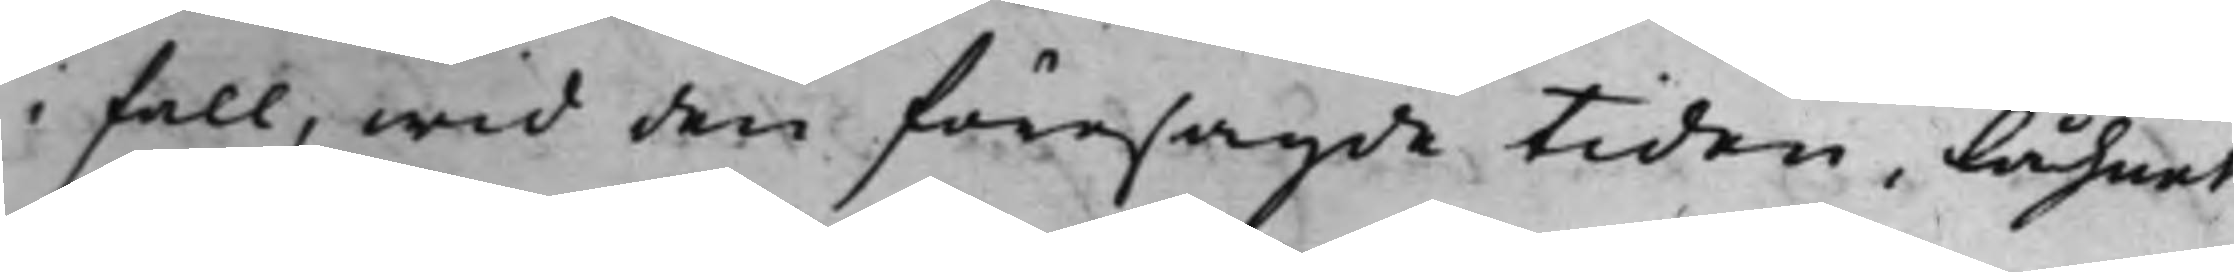i fall, wid den föresagde tiden, Låhnet
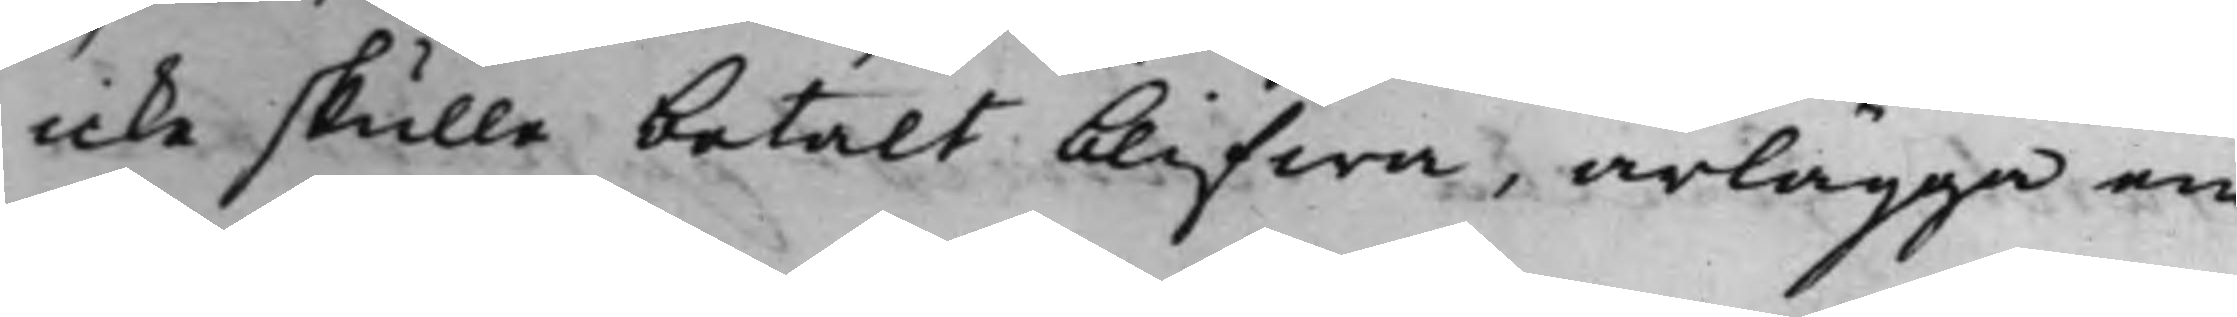icke skulle betalt blifwa. ärlägga en
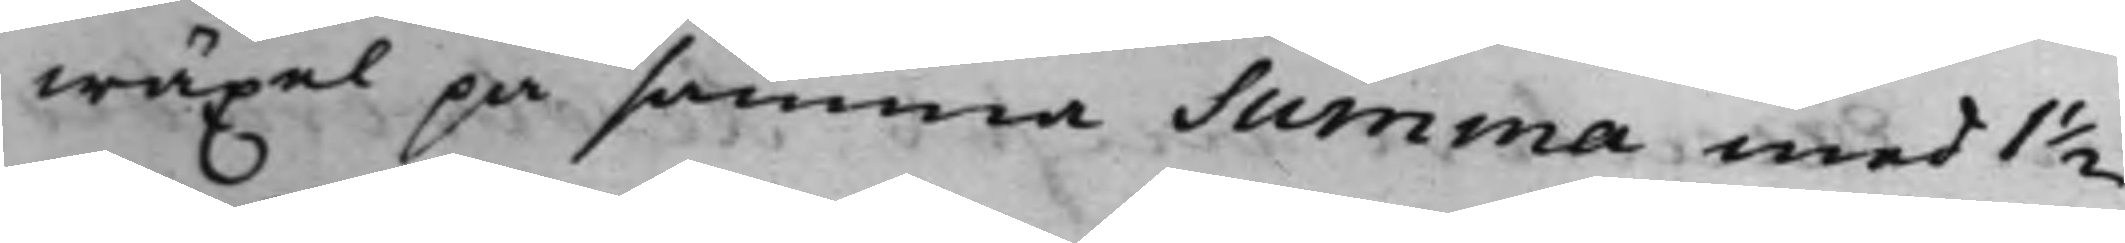wäxel på samma Summa med 1 ½
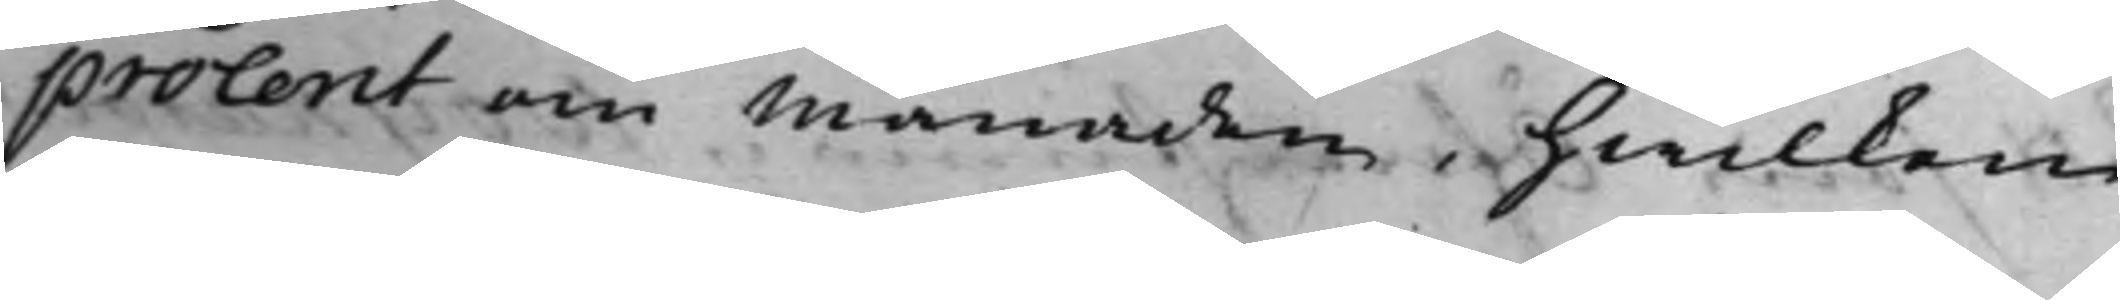procent om Månaden, hwilken
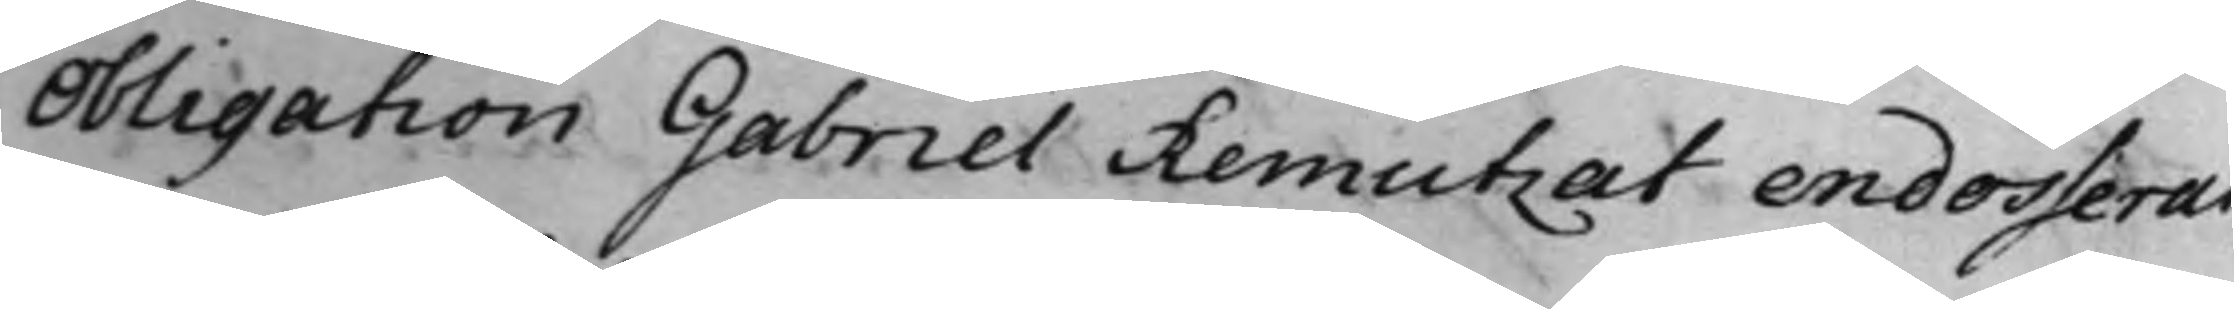Obligation Gabriel Remutzat endosserat,
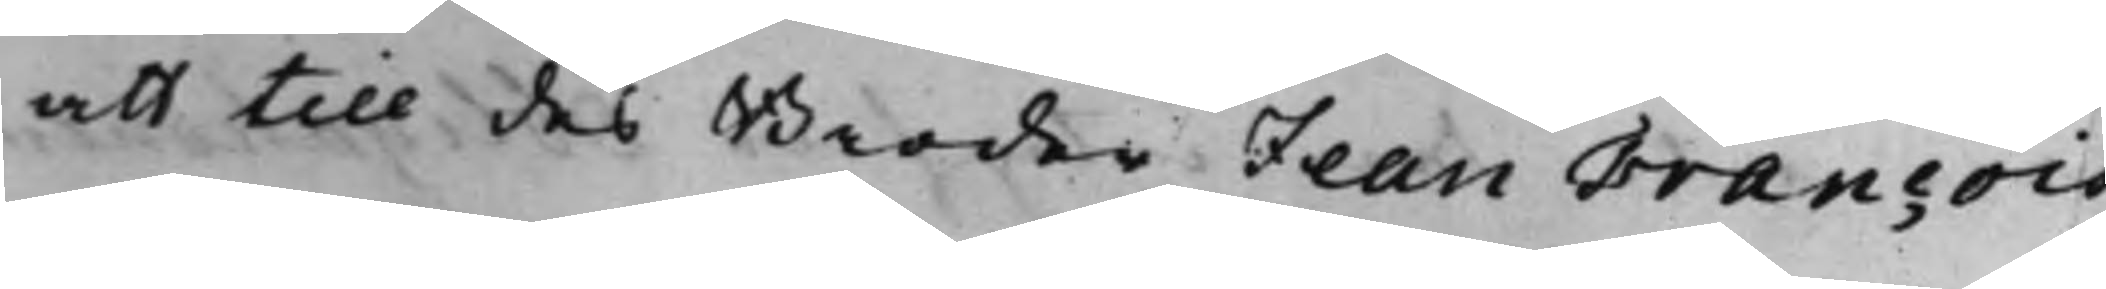att till des Broder Jean Francois
